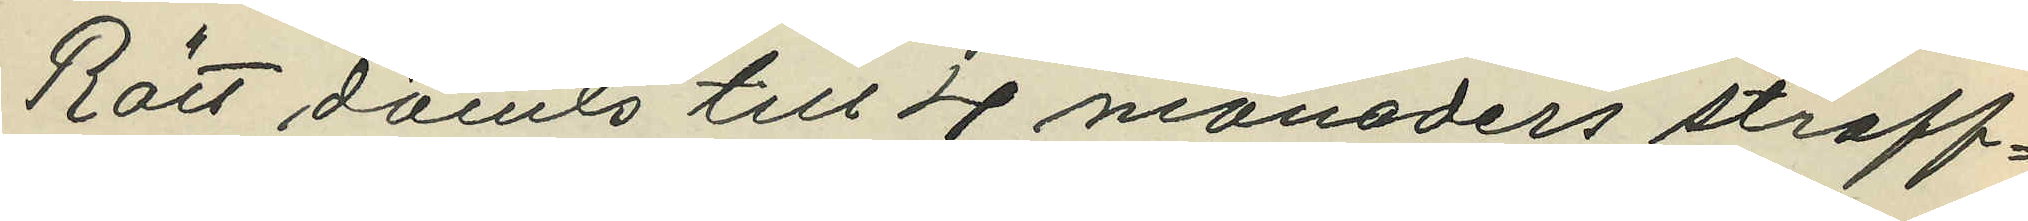Rätt dömts till 4 månaders straff¬
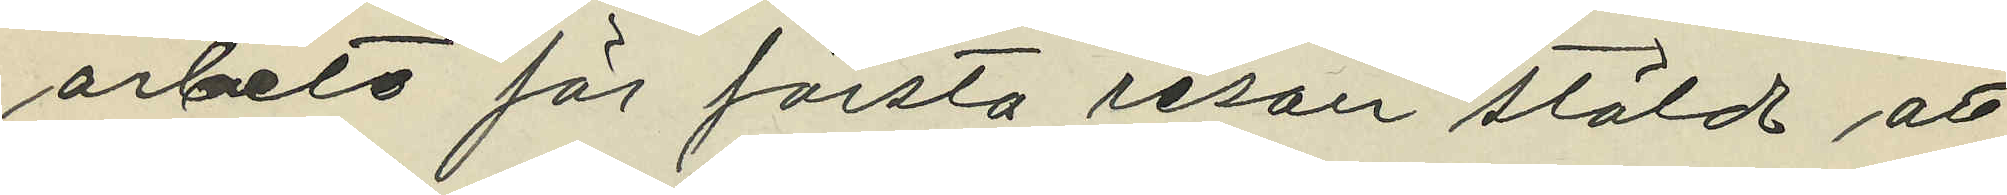arbete för första resan stöld att
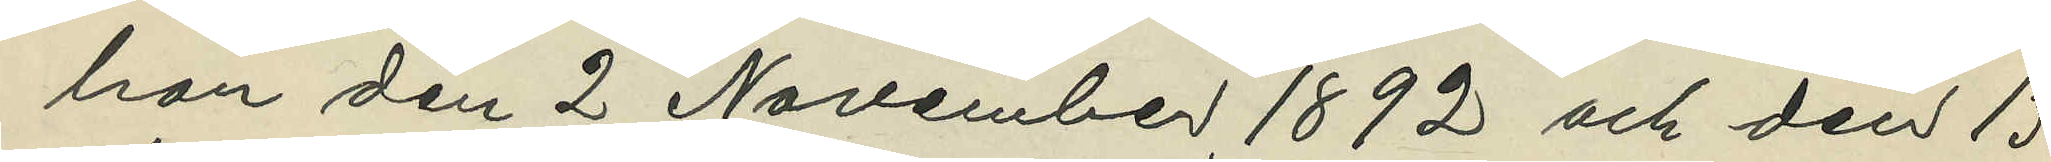hon den 2 November 1892 och den 13
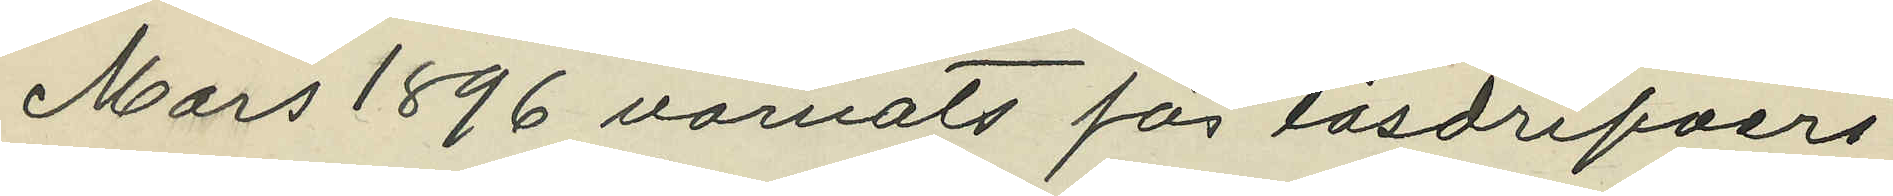Mars 1896 varnats för lösdrifveri
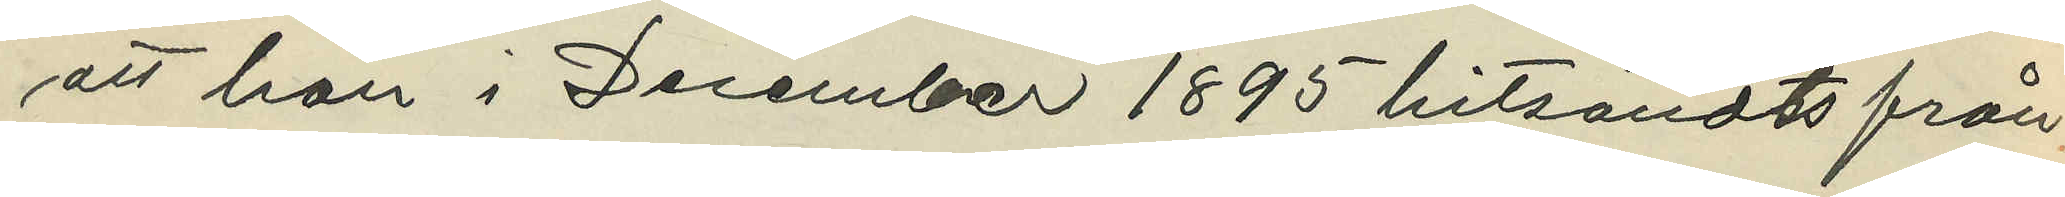att hon i December 1895 hitsändts från
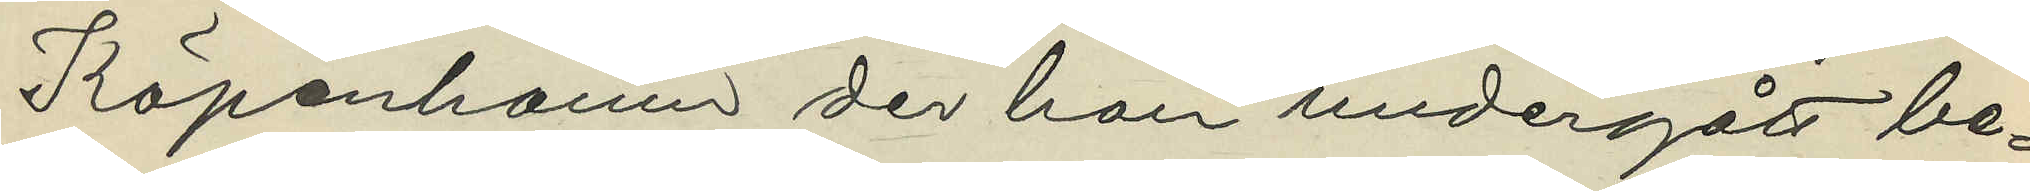Köpenhamn der hon undergått be¬
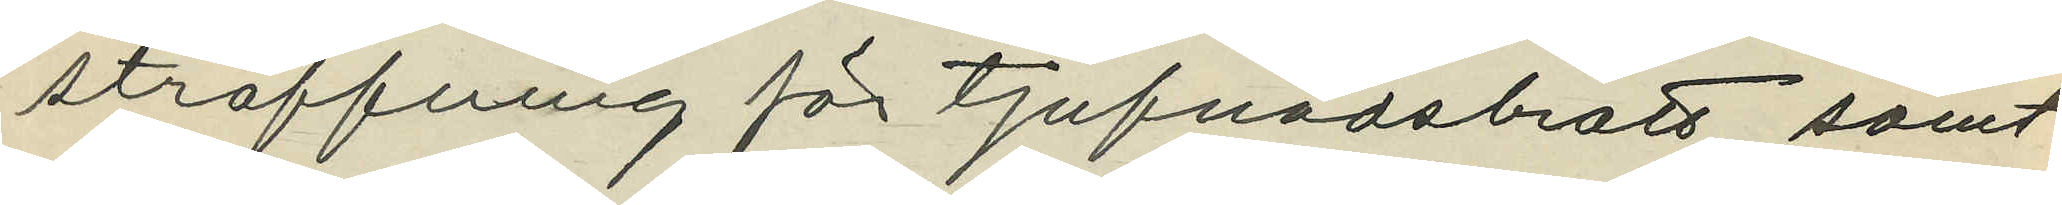straffning för tjufnadsbrott samt
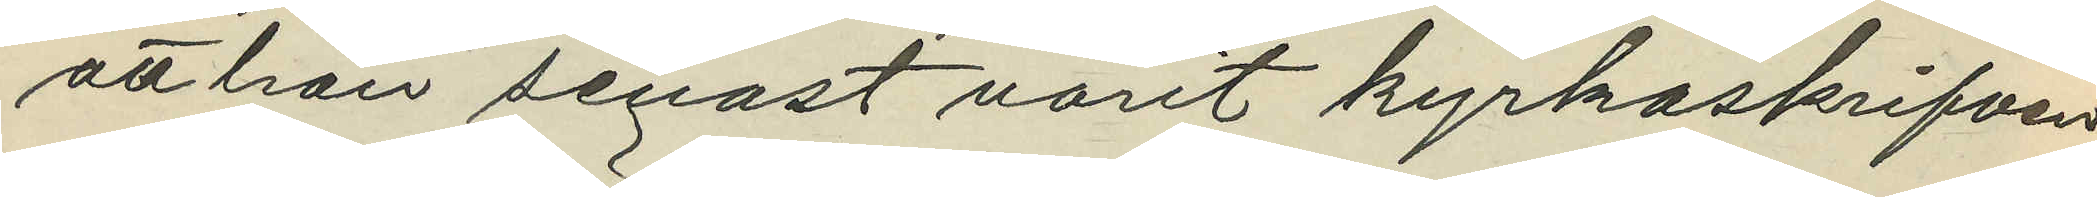att hon senast varit kyrkoskrifven
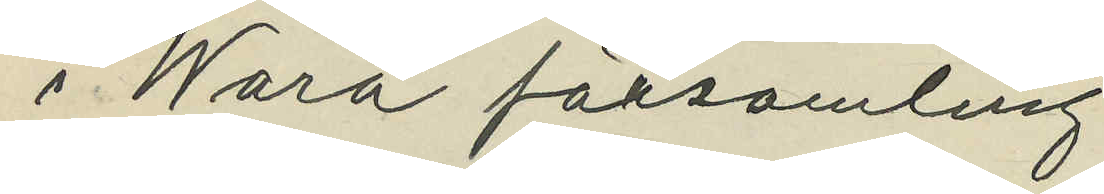i Wara församling.
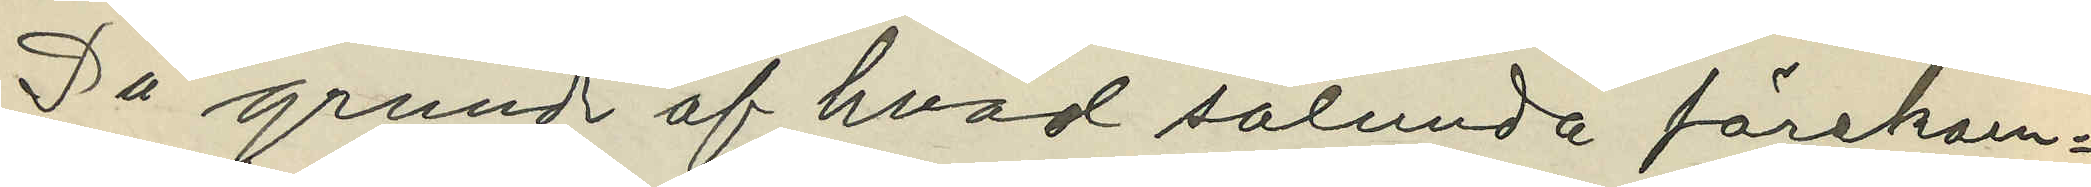På grund af hvad sålunda förekom¬
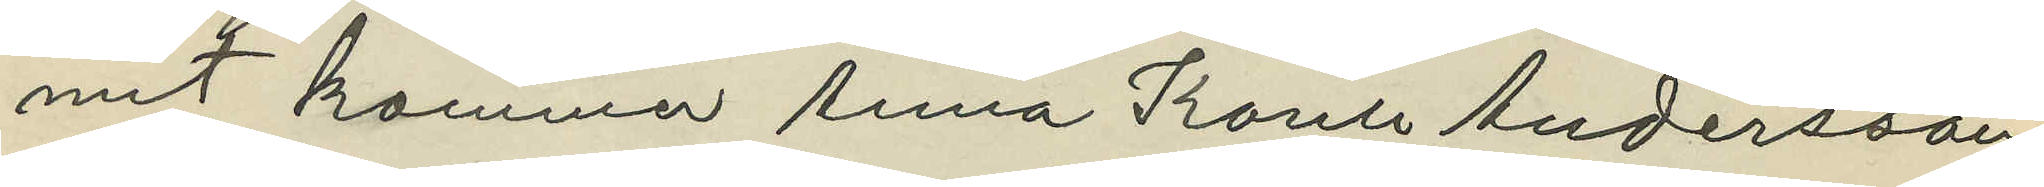mit kommer Anna Karin Andersson
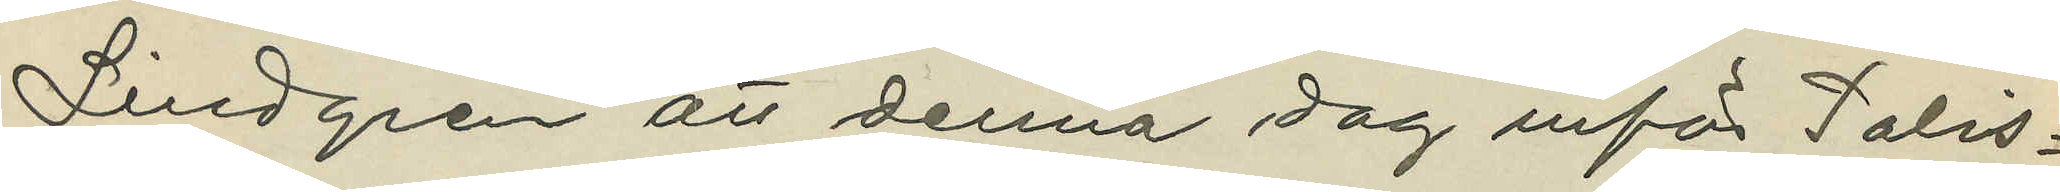Lindgren att denna dag inför Polis¬
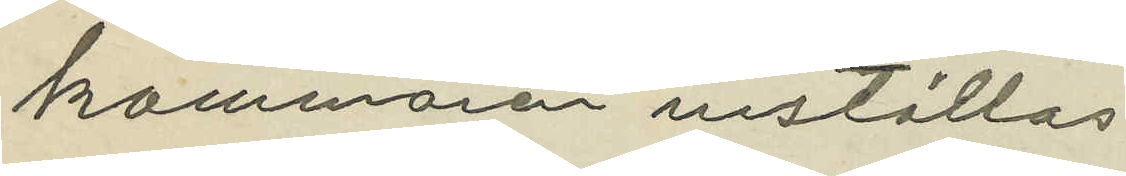kammaren inställas.
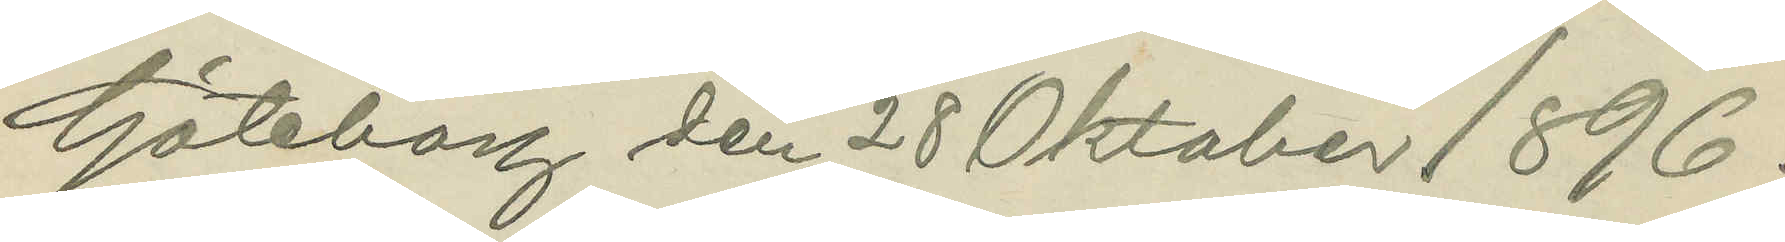Göteborg den 28 Oktober 1896.
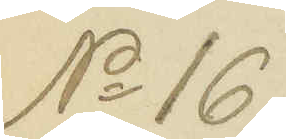No 161
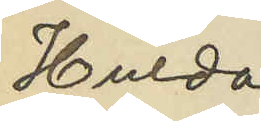Hulda
